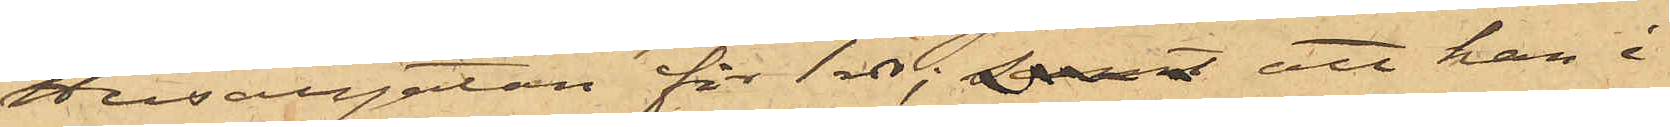Husargatan för 1 rdr; samt att han i
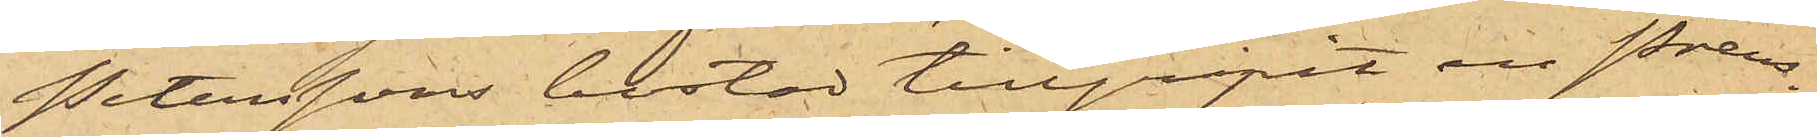Peterssons bostad tillgripit en Preus¬
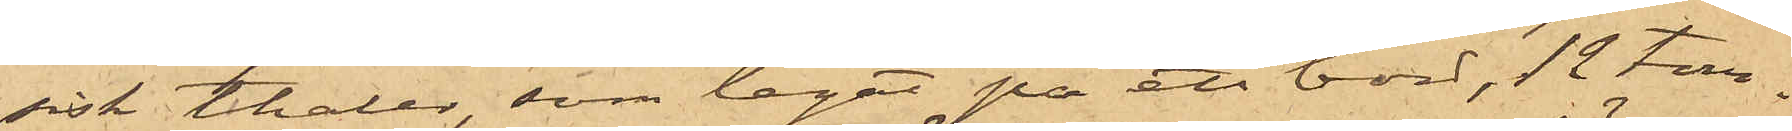sisk Thaler, som legat på ett bord, 12 tom¬
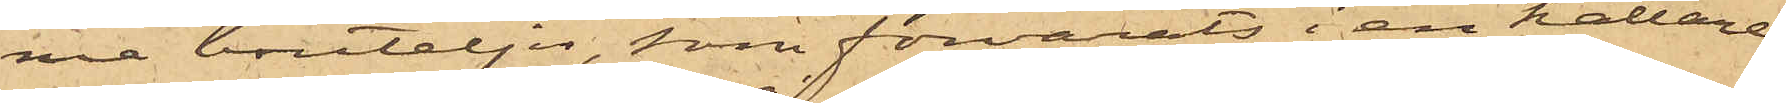ma bouteljer, som förvarats i en källare,
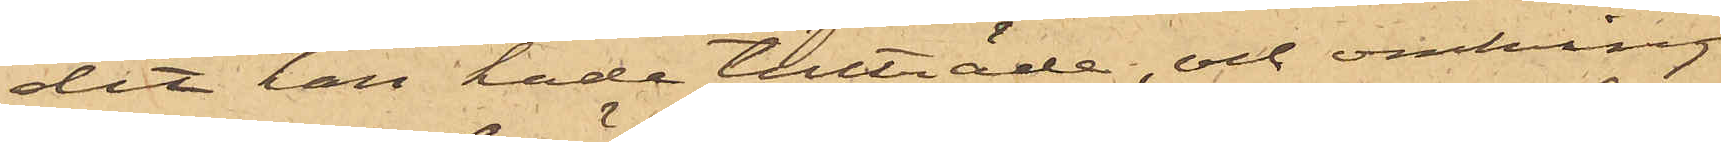dit han hade tillträde, och omkring
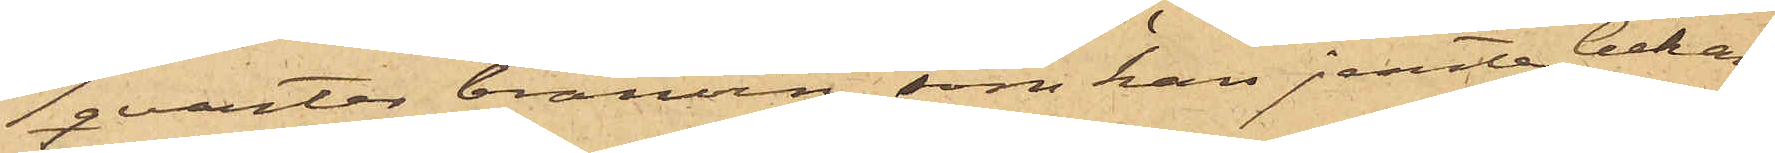1 qvarter bränvin, som han jemte bekan¬
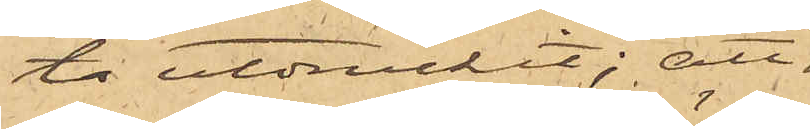ta utdruckit; att
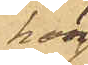han
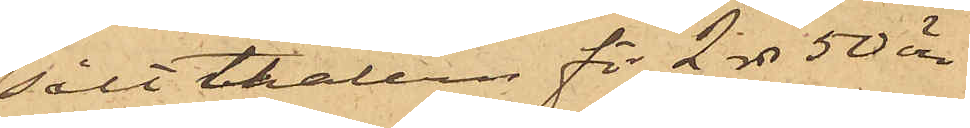sålt thalern för 2 rdr 50 öre
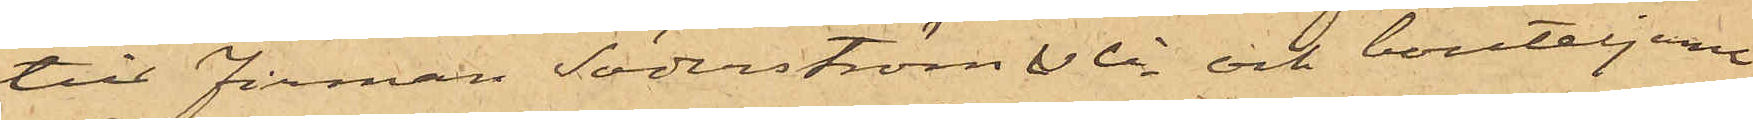till Firman Söderström & Ci, och bouteljerna
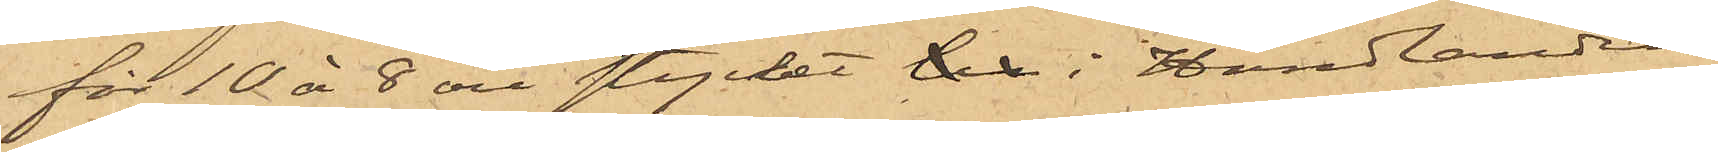för 10 à 8 öre stycket til i Handlanden
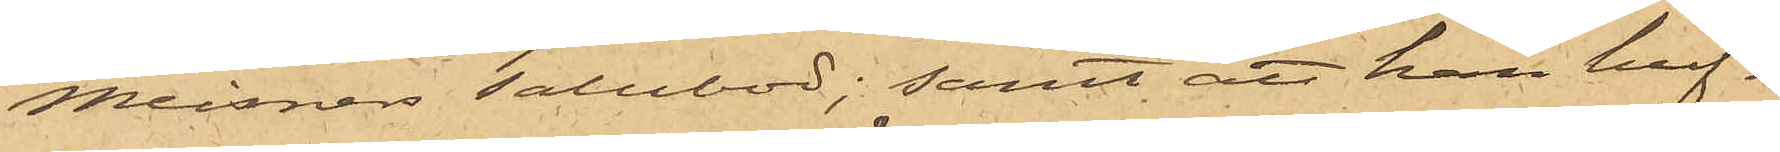Meisners Salubod; samt att han huf¬
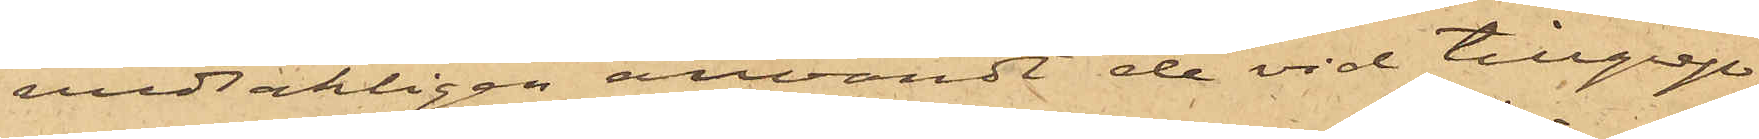vudsakligen användt de vid tillgrep¬
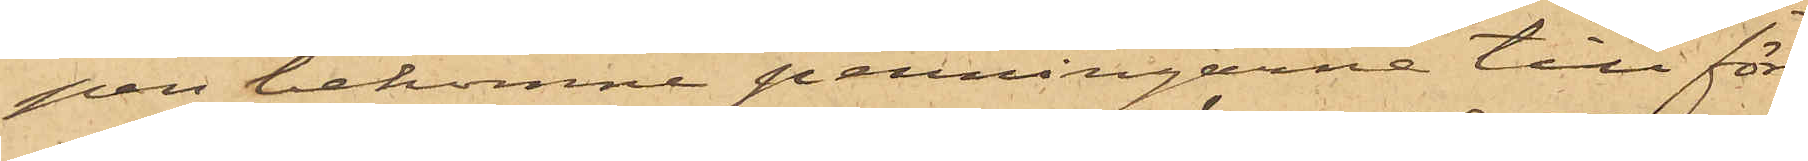pen bekomne penningarne till för¬
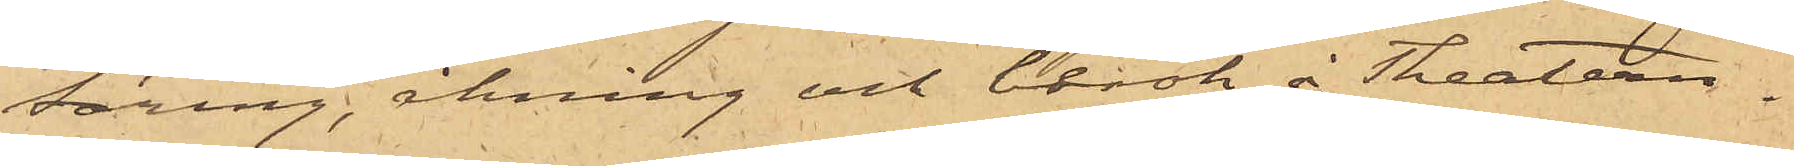täring, åkning och besök å Theatern.
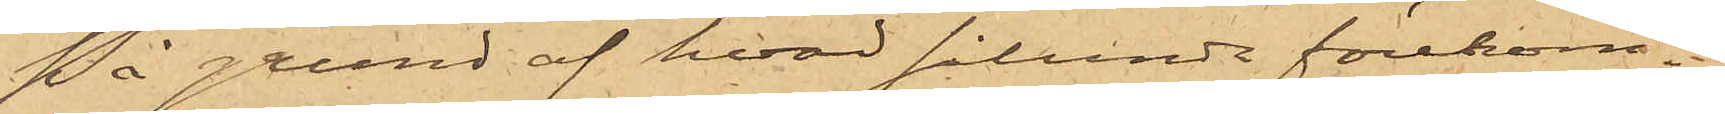På grund af hvad sålunda förekom¬
